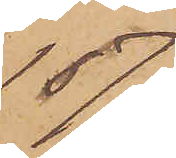1877.
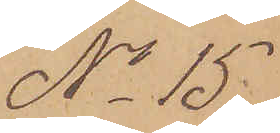No 15
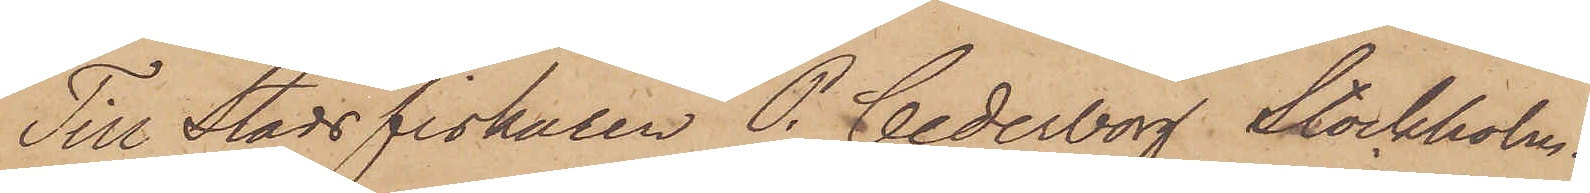Till Stadsfiskaren P. Cederborg Stockholm
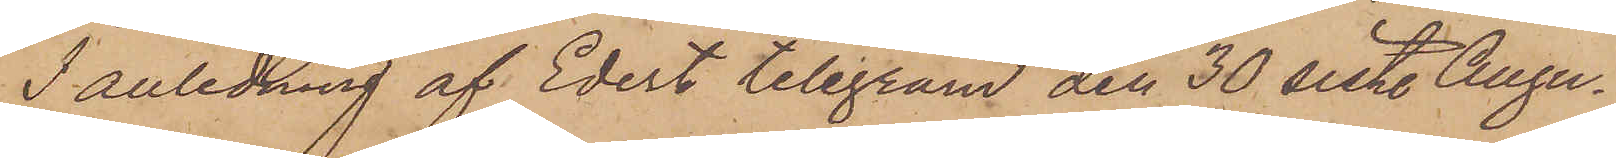I anledning af Edert telegram den 30 sist. Augu¬
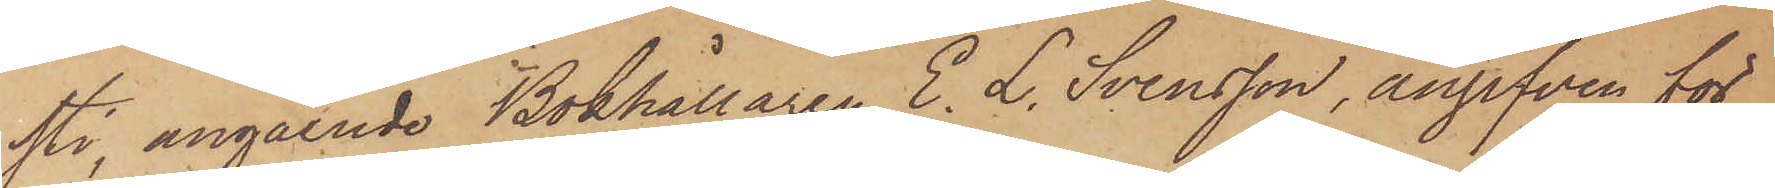sti, angående Bokhållaren E. L. Svensson, angifven för
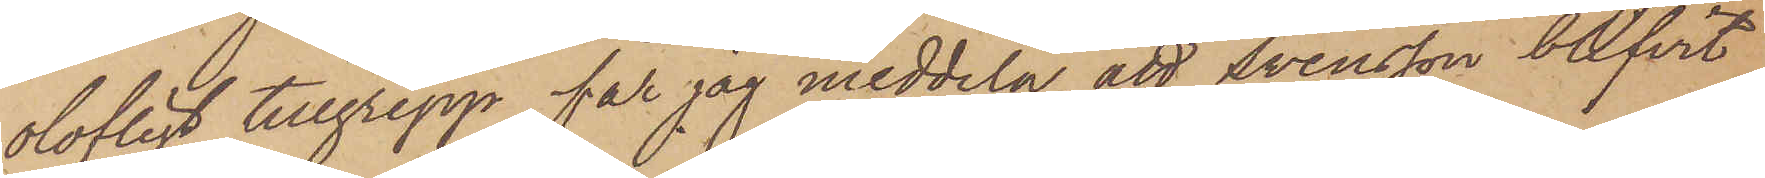olofligt tillgrepp, får jag meddela, att Svensson blifvit
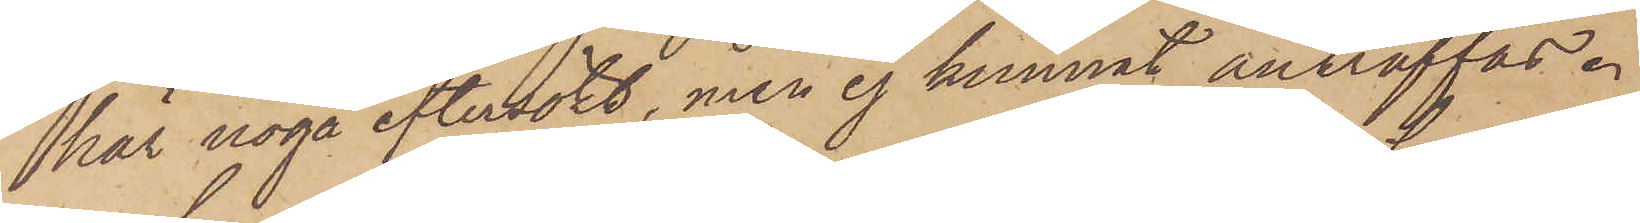här noga eftersökt, men ej kunnat anträffas.
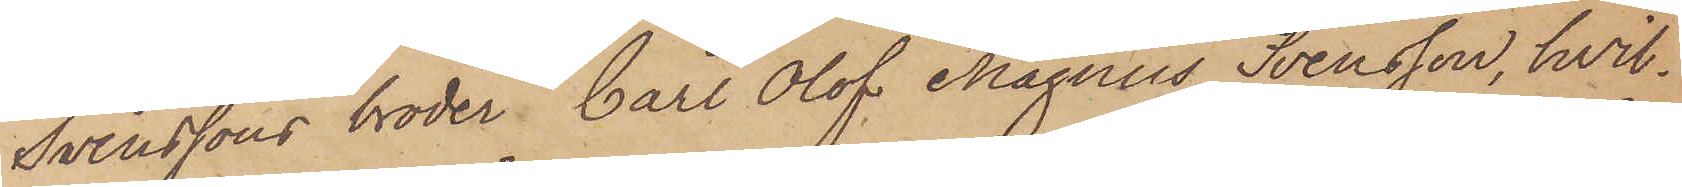Svenssons broder Carl Olof Magnus Svensson, hvil¬
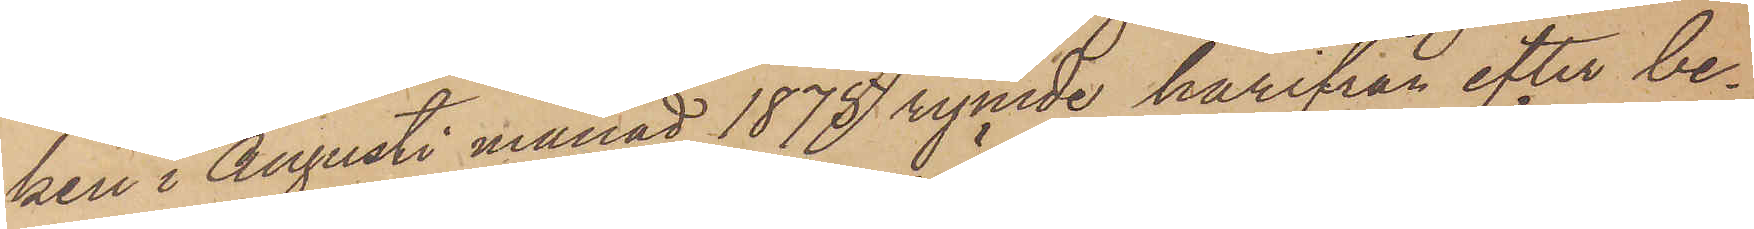ken i Augusti månad 1875 rymde härifrån efter be¬
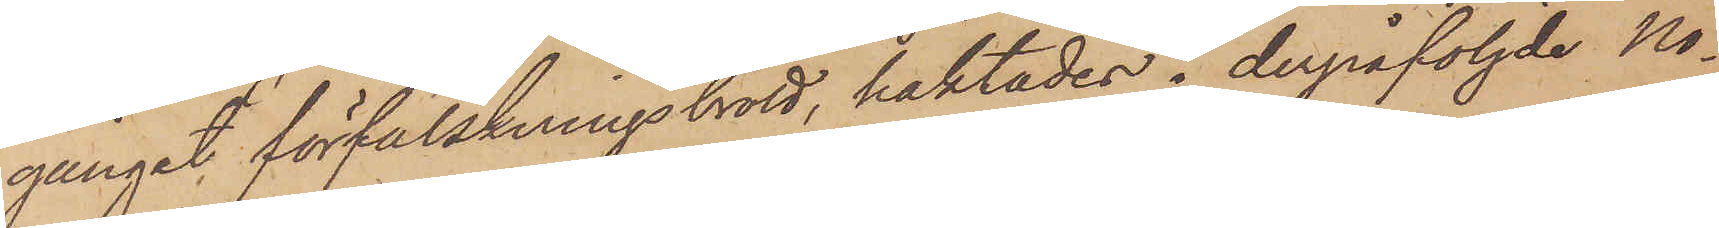gånget förfalskningsbrott, häktades i derpåföljde No¬
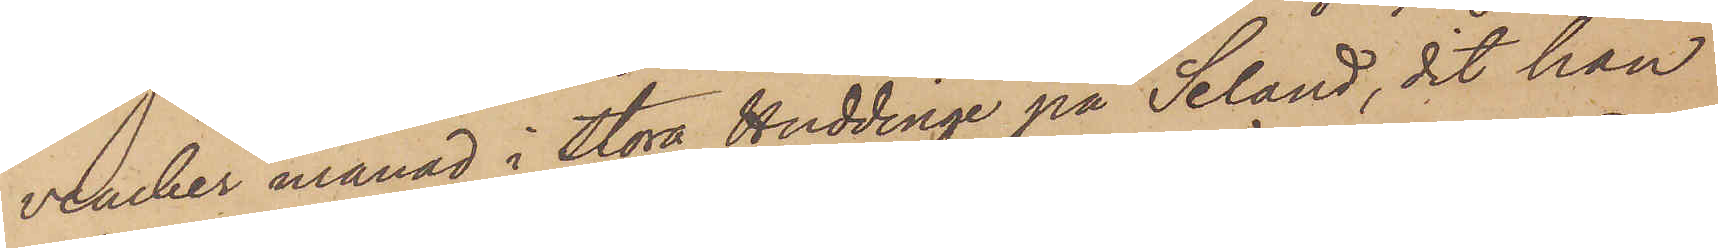vember månad i Stora Huddinge på Seland, dit han
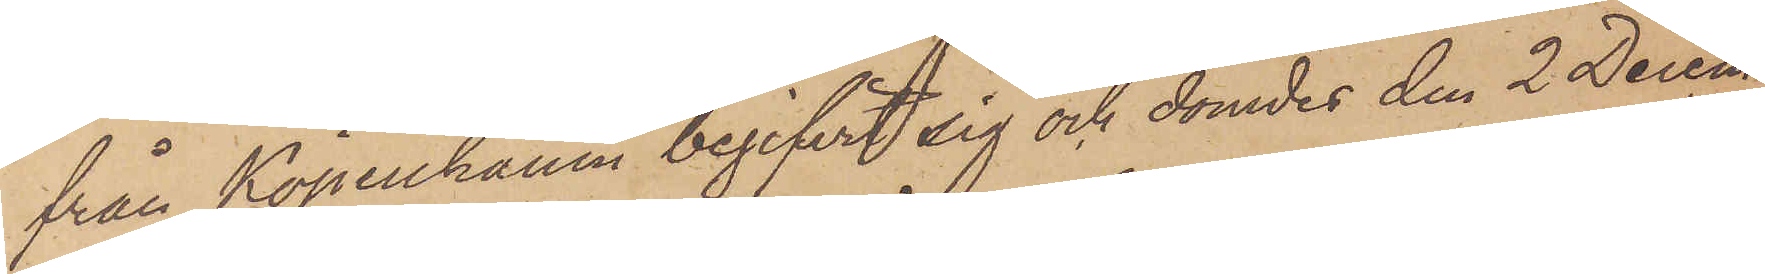från Köpenhamn begifvit sig och dömdes den 2 Decem¬
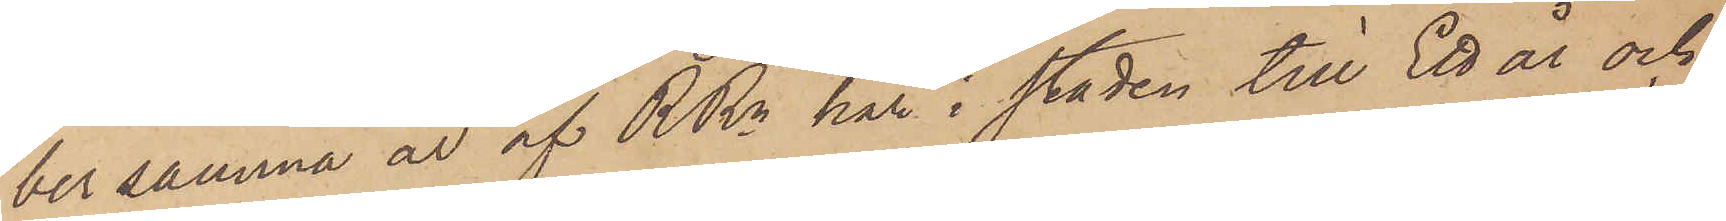ber samma år af RRn här i staden till Ett år och
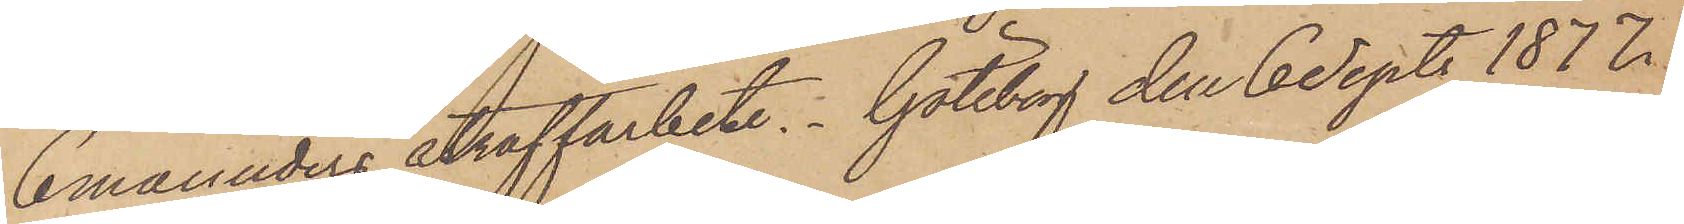6 månaders straffarbete. Göteborg den 6 Sept. 1877.
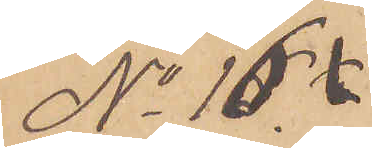No 16
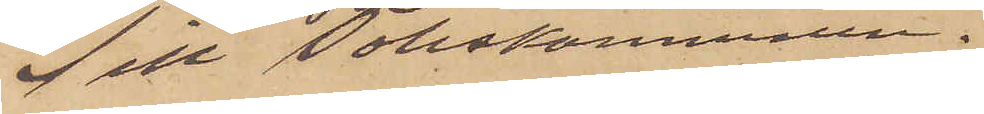Till Poliskammaren.
